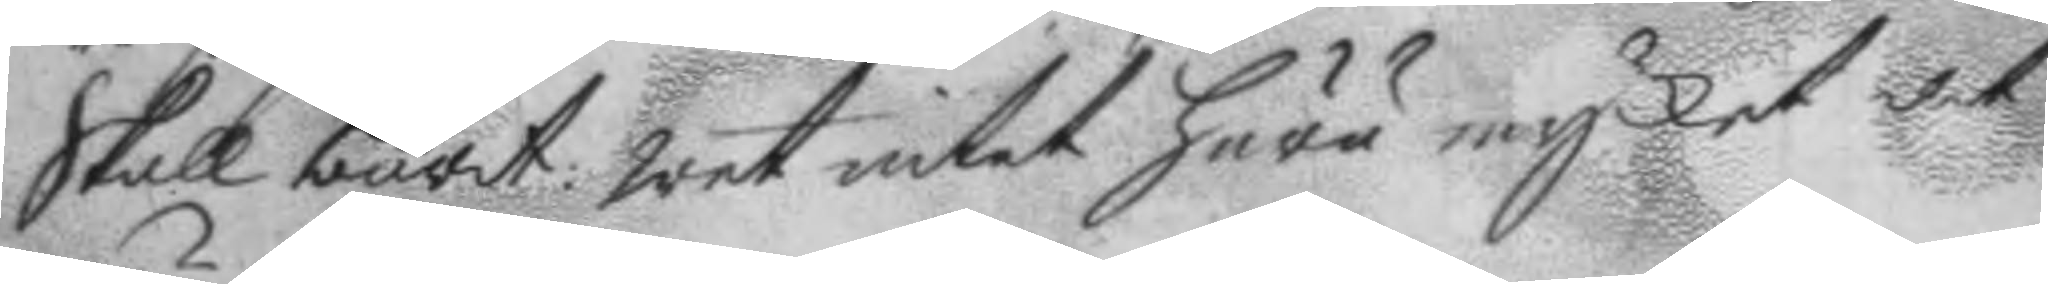skall burit: wet intet huru mycket det
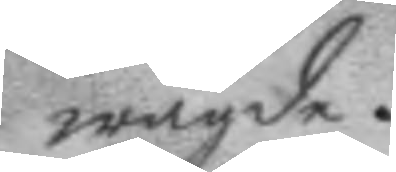wägde.
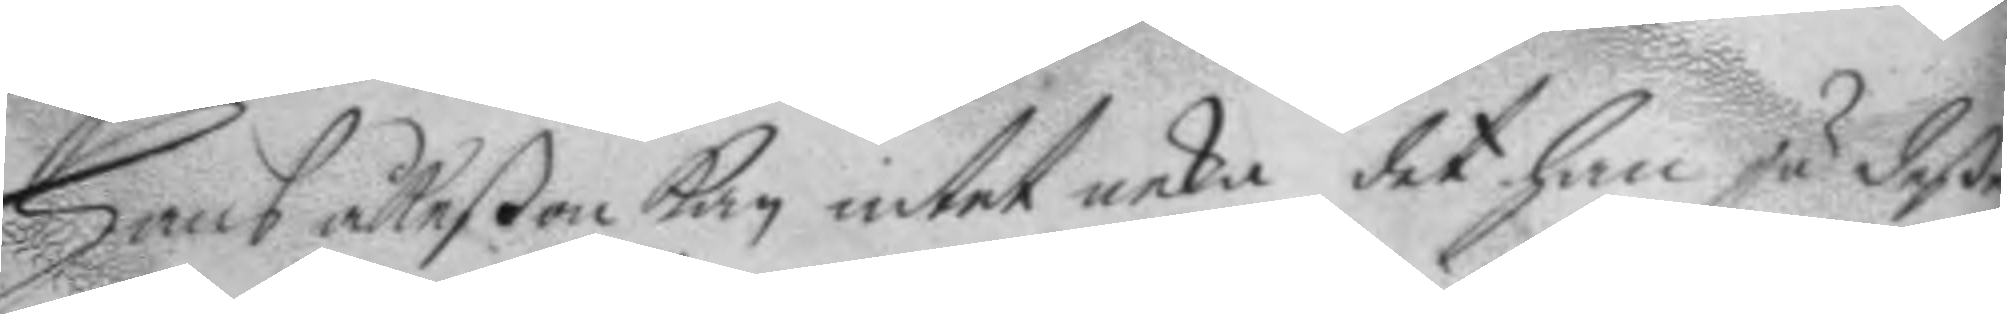Hans åkeßon kan intet neka det han ju deße
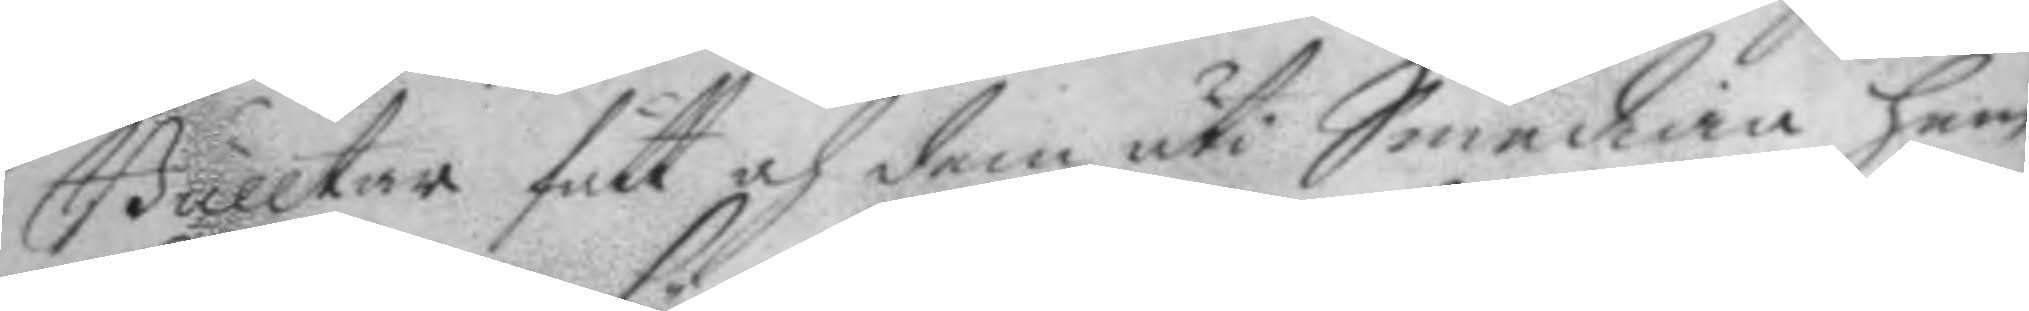Bulltar fått och dem uti Smedian hem¬
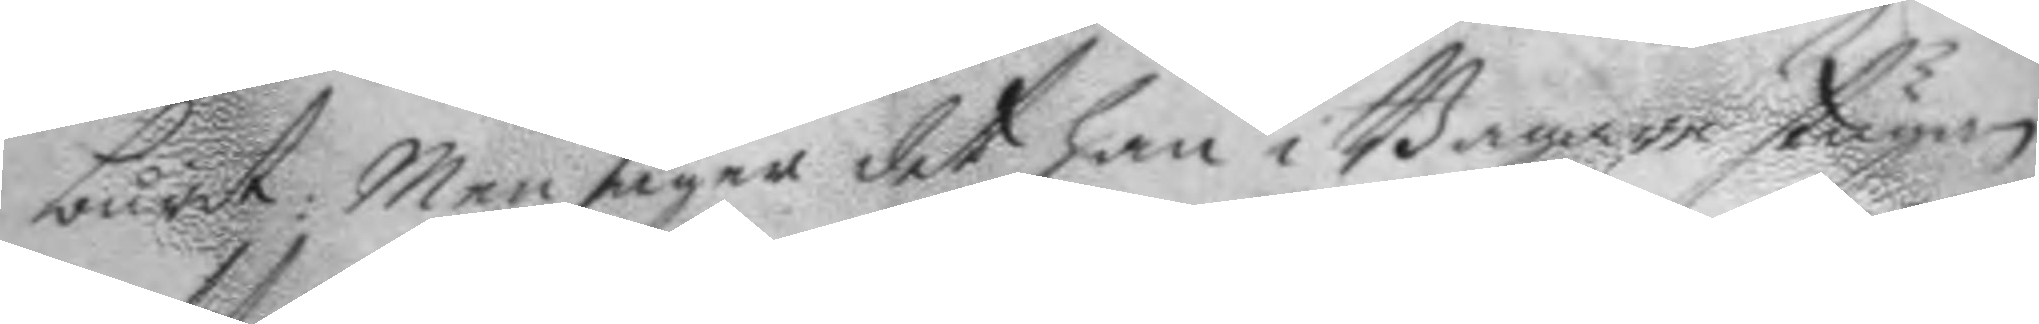burit; Men säger det han i Bagare stugan
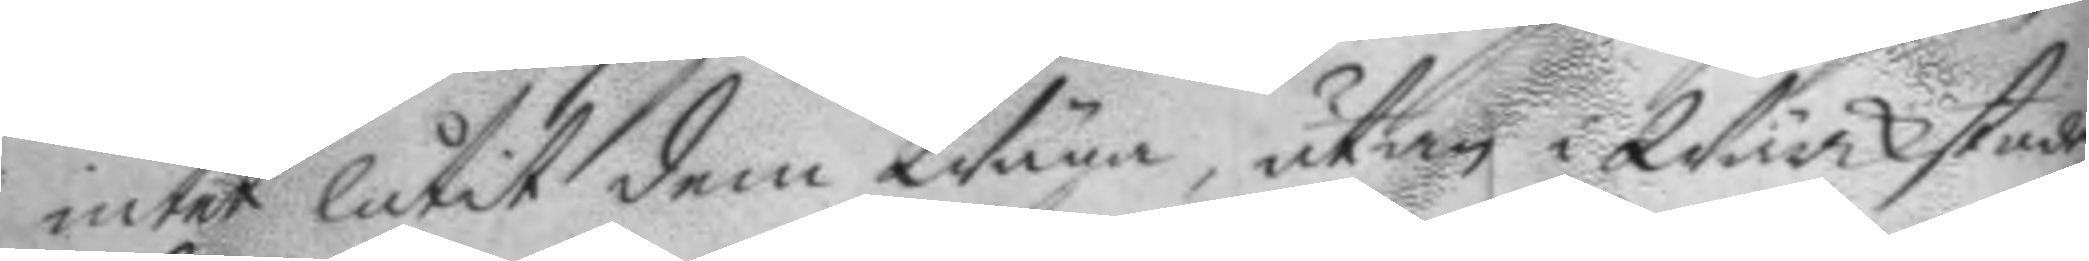intet låtit dem Wäga, utan i Wärckstaden
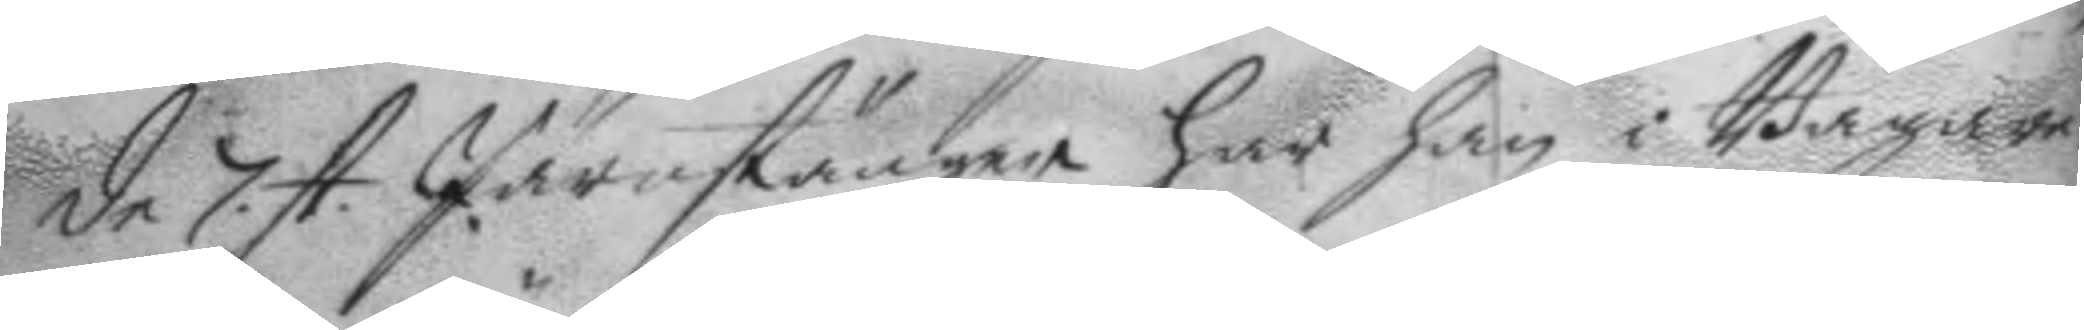de 7. st. Järnstänger har han i Bagare¬ 
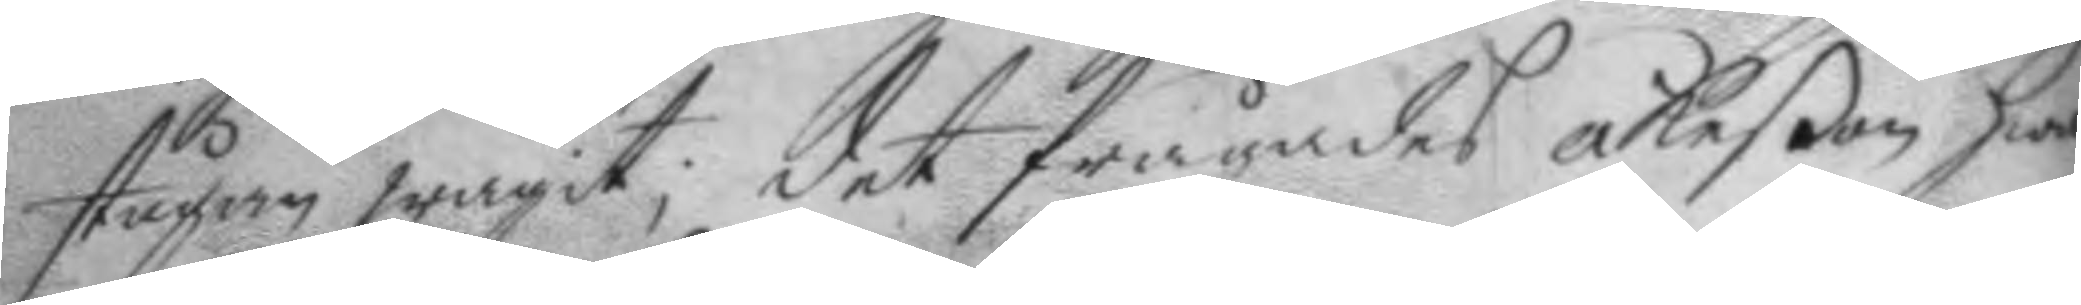stugan wägit; det frågades åkeßon hwar¬
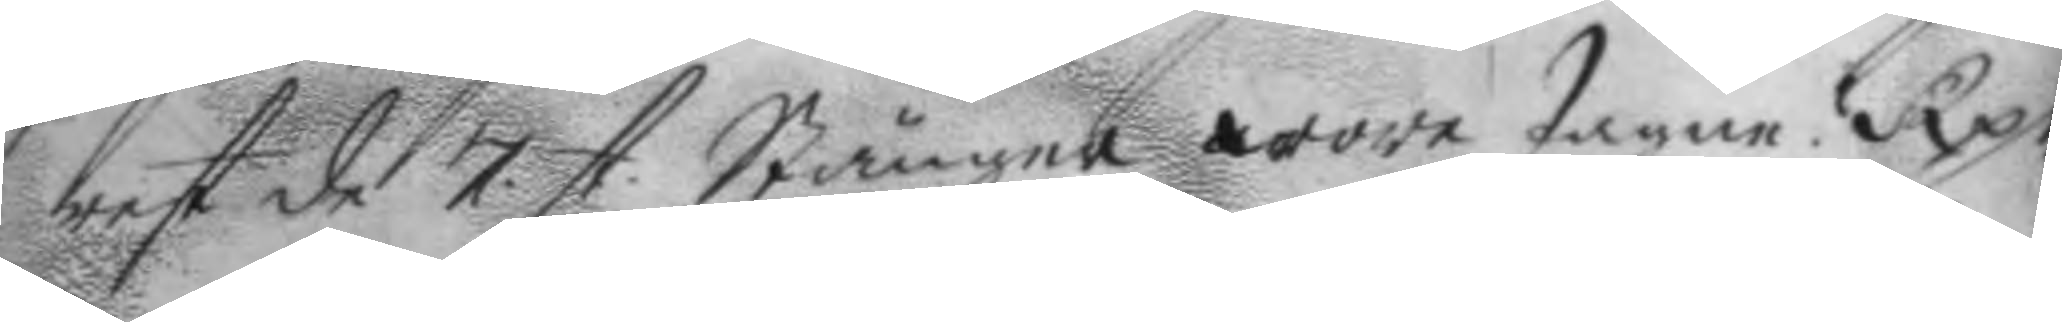rest de 7 st.. Stänger wore tagne? Rp. 
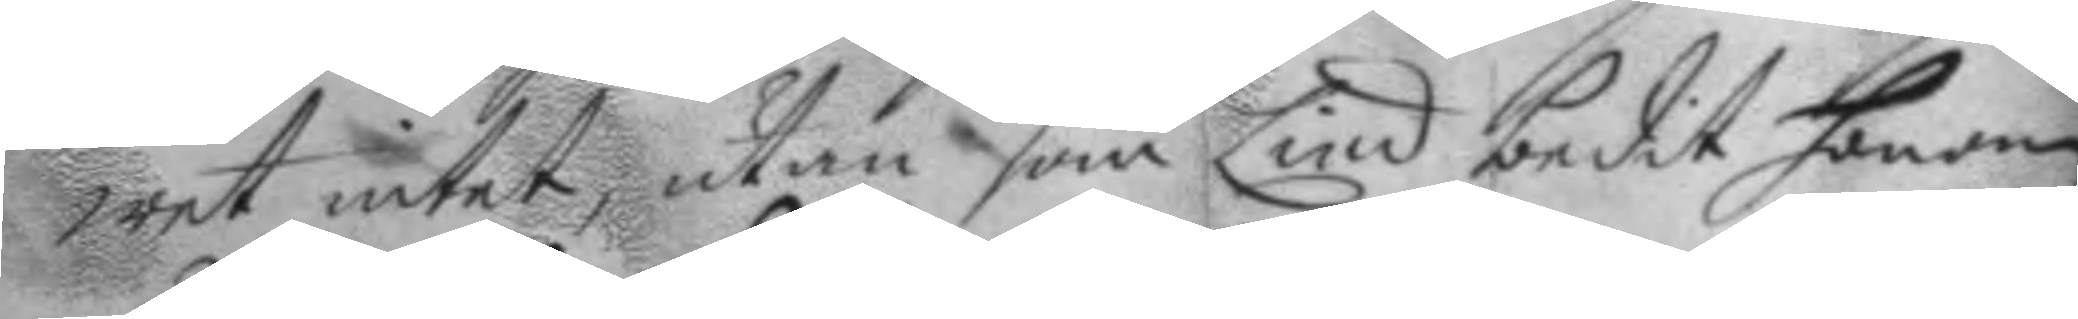wet intet, utan som Lind bedit honom
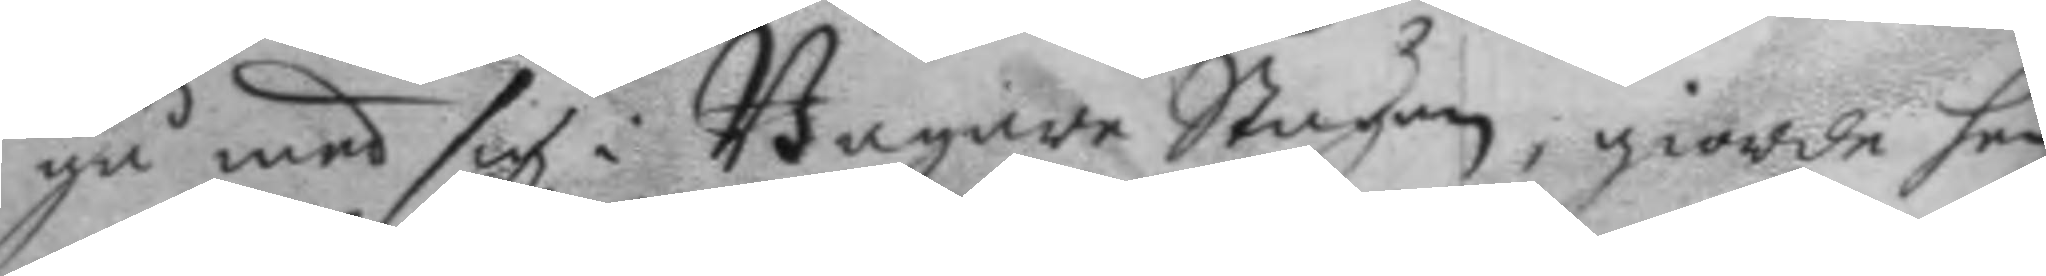gå med sig i Bagare Stugun, giorde han
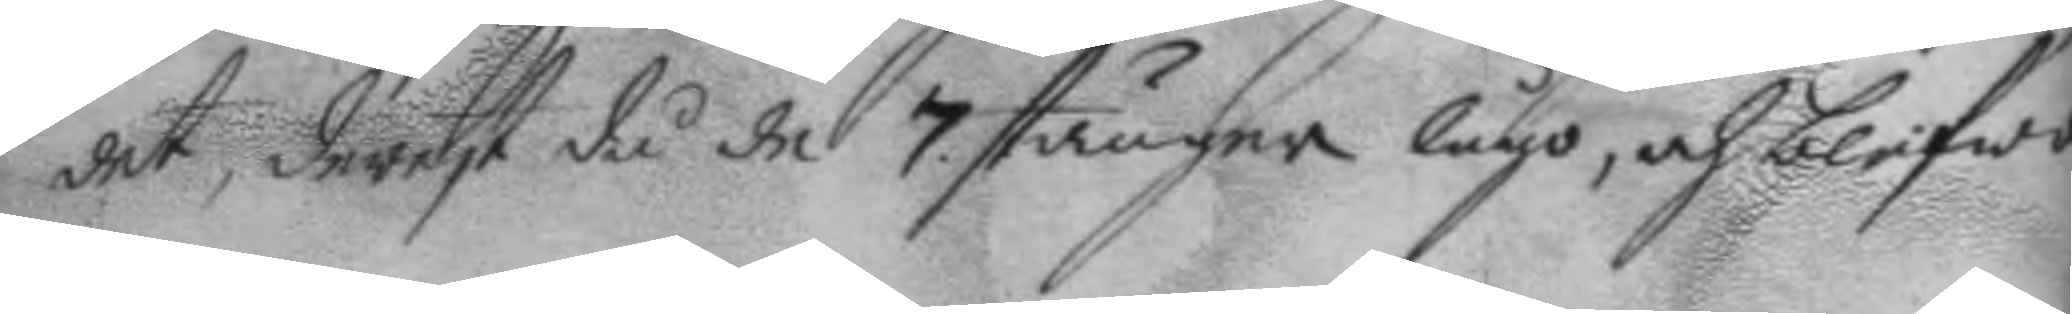det, derest då de 7. stänger lågo, och blifwo
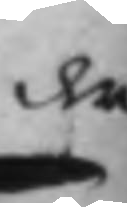der
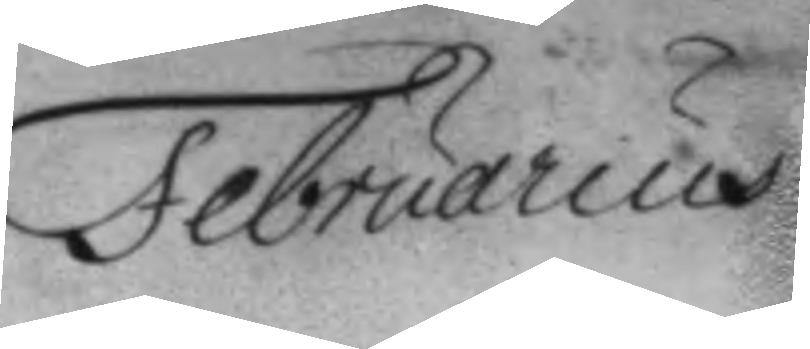Februarius
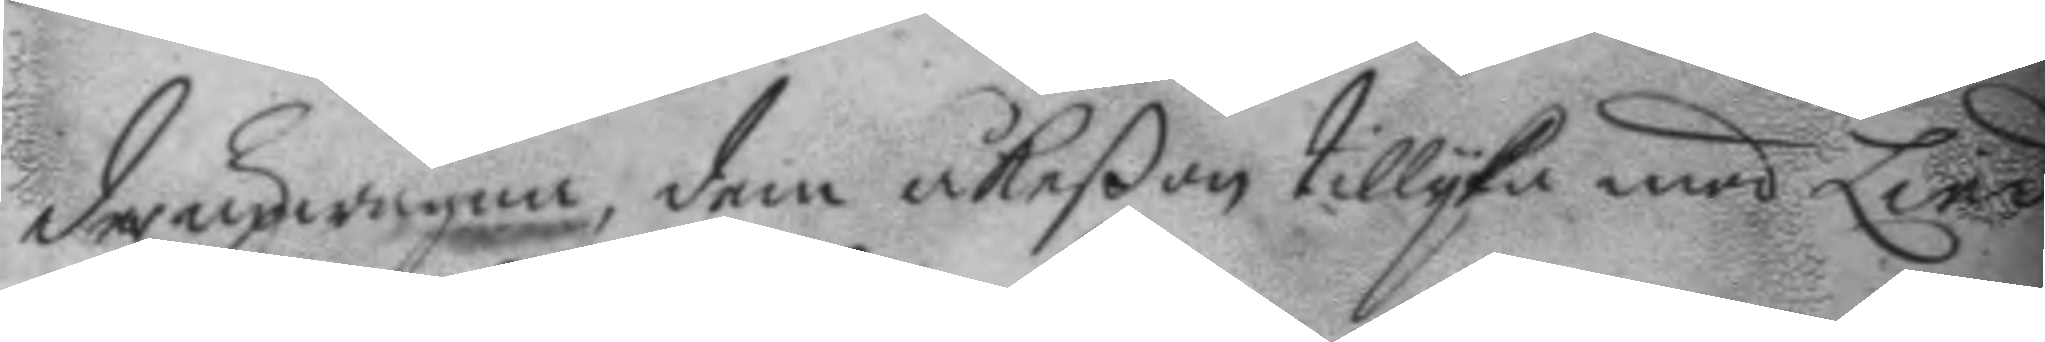der upwägna, dem åkeßon tillyka med Lind
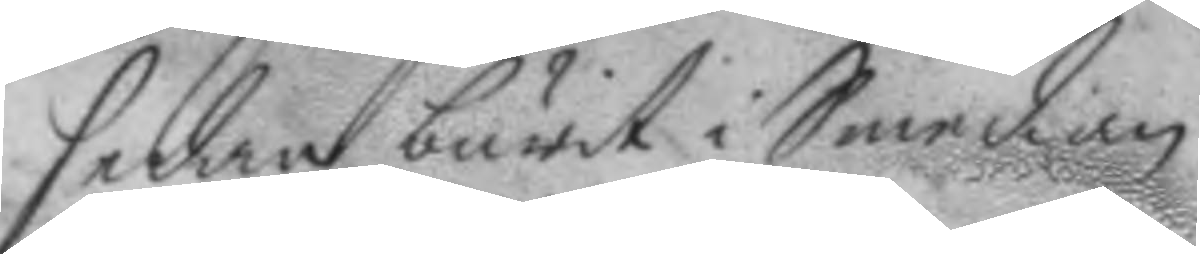sedan burit i Smedian.
